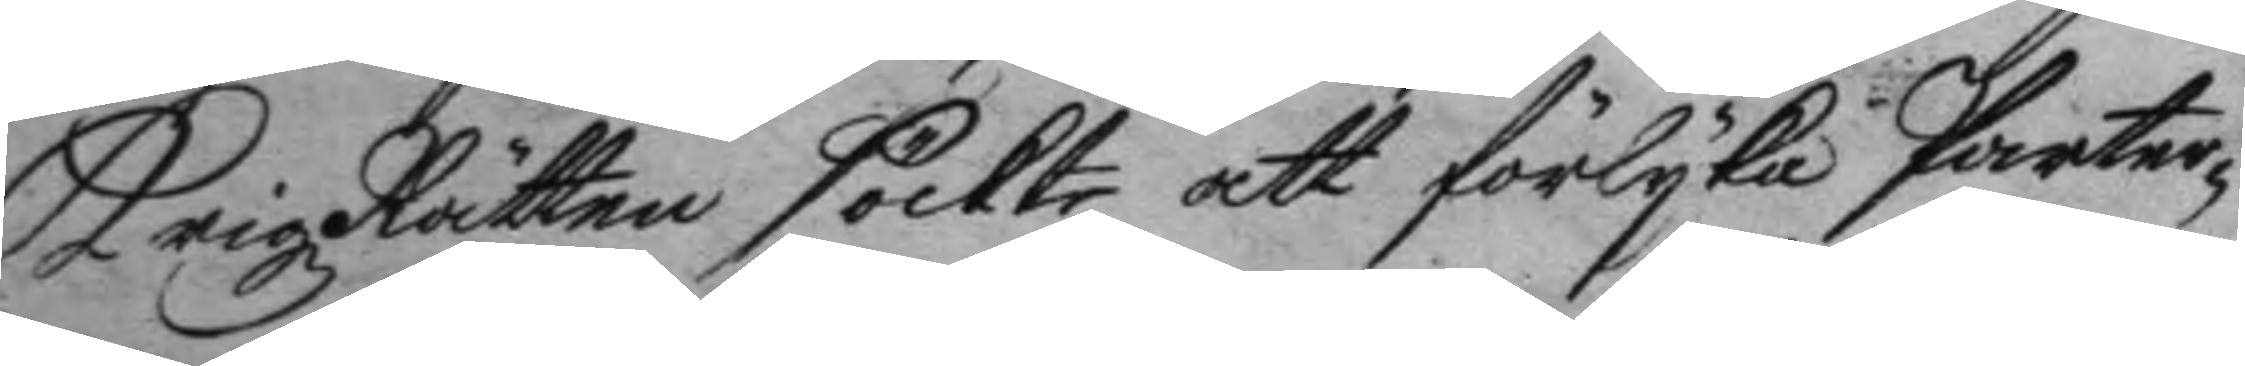Krigz Rätten söckte att förlyka Parter¬
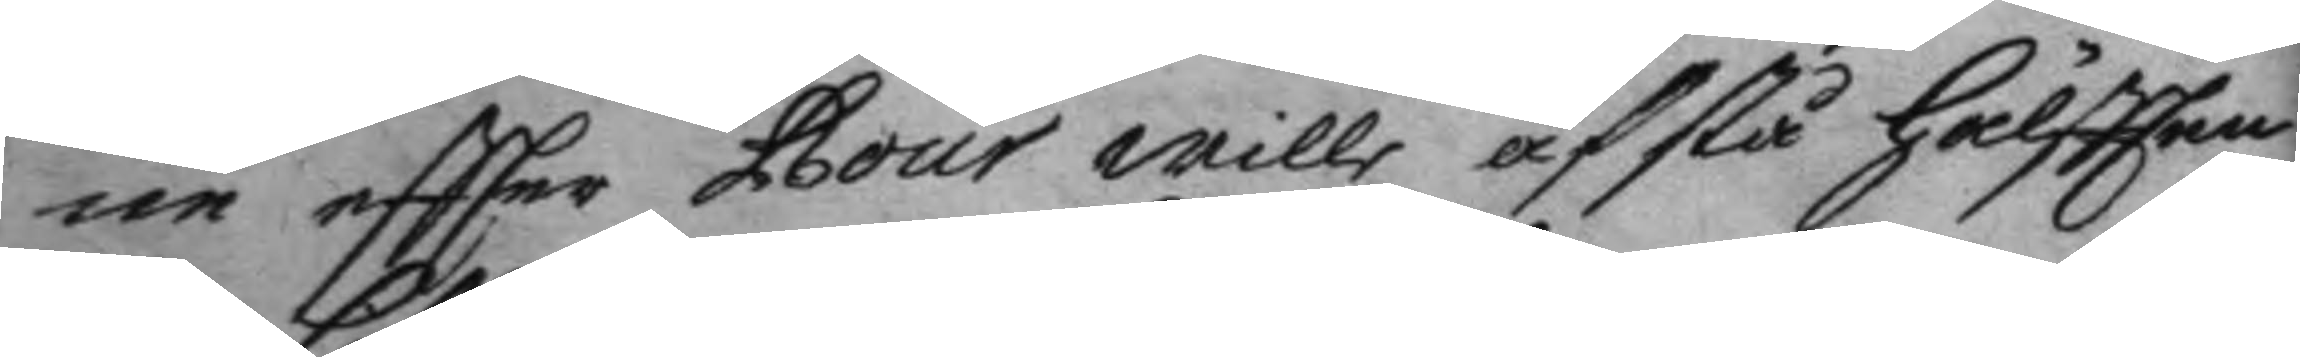ne eftter Gour wille afstå hälftten
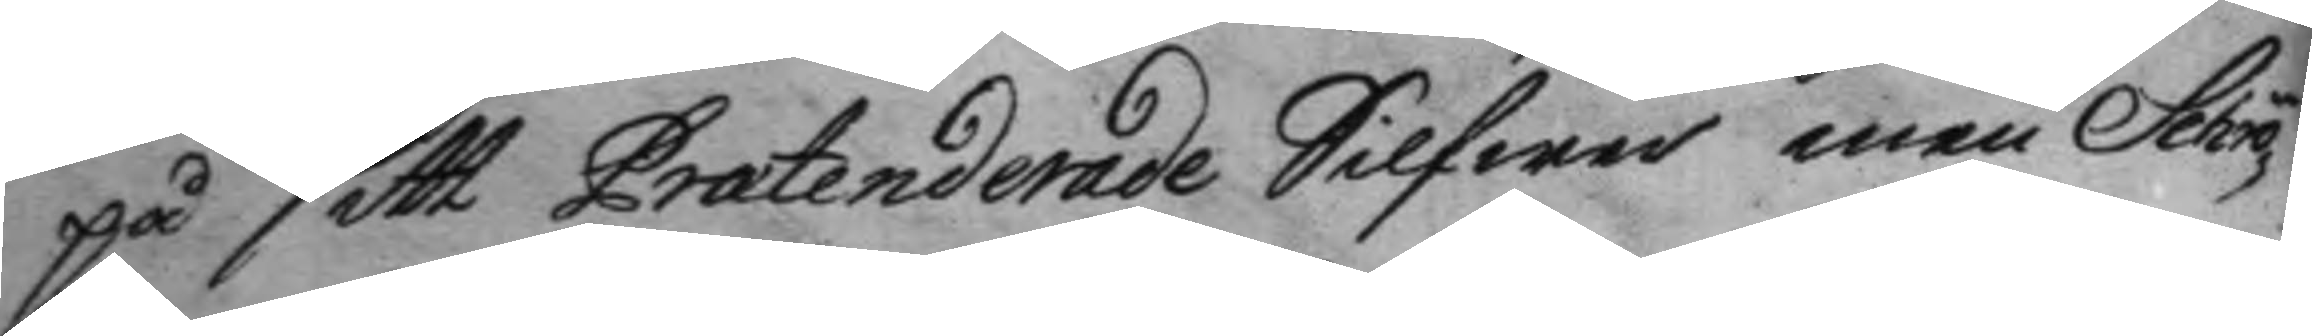på sitt Pratenderade Silfwer men Schrö¬
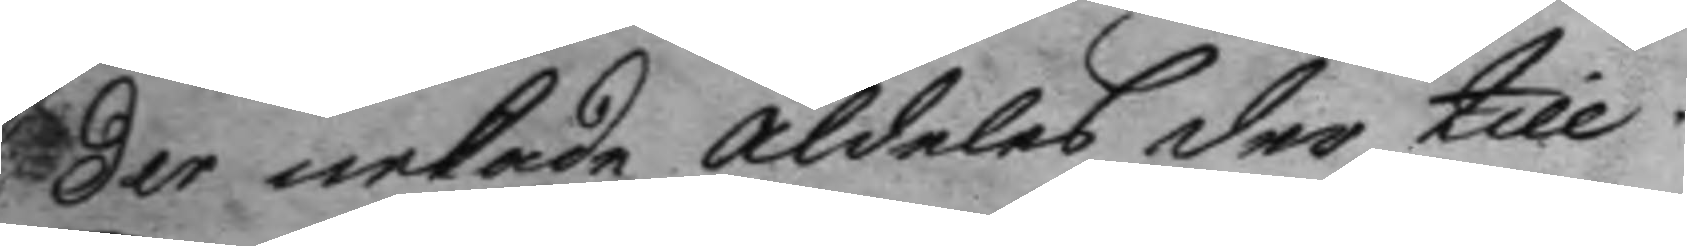der nekade aldeles der till.
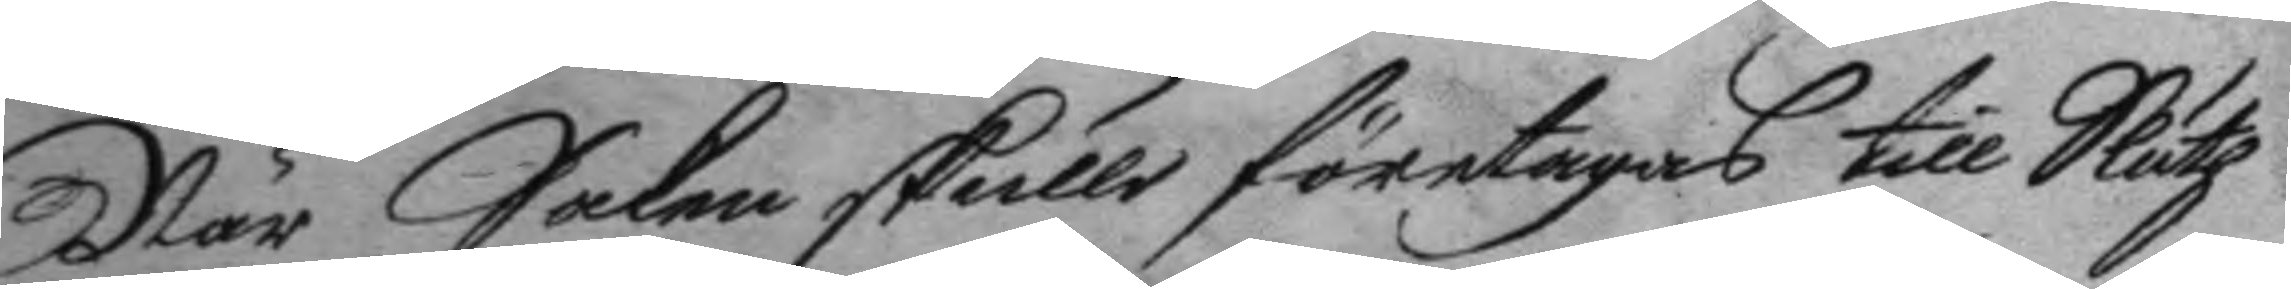När Saken skulle företagas till Sluth
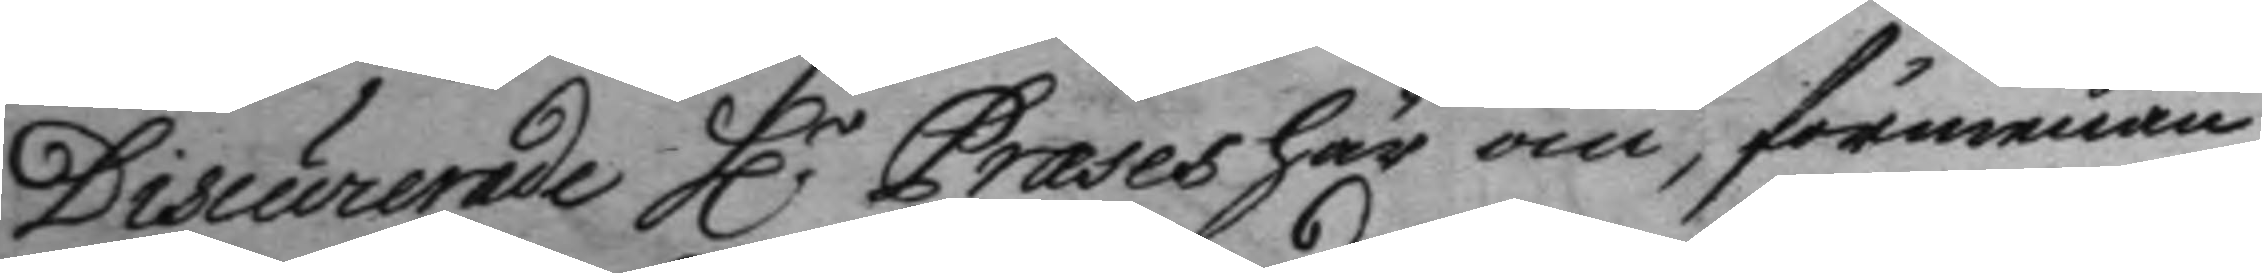Discurerade H:r Præses här om, förmenan¬
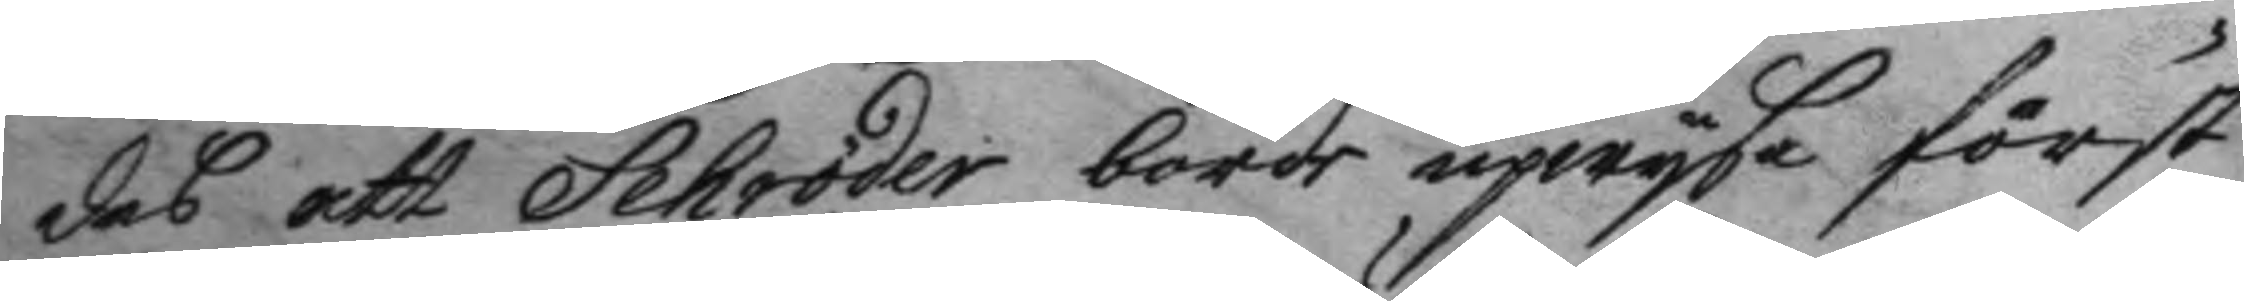des att Schröder borde upwysa först
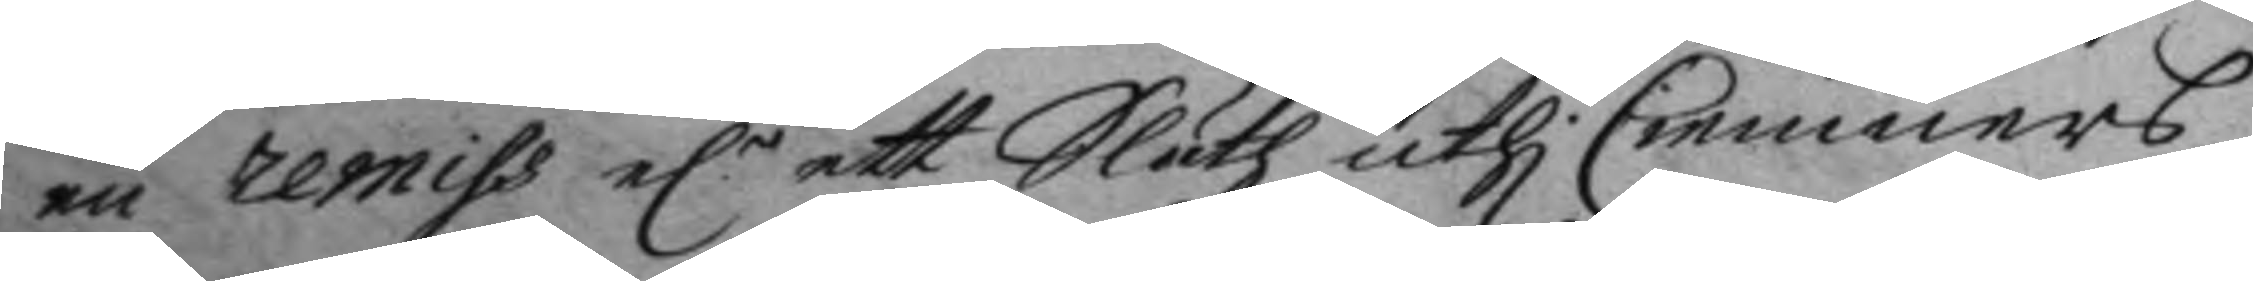en remiss e:r ett Sluth uthi Cemmners
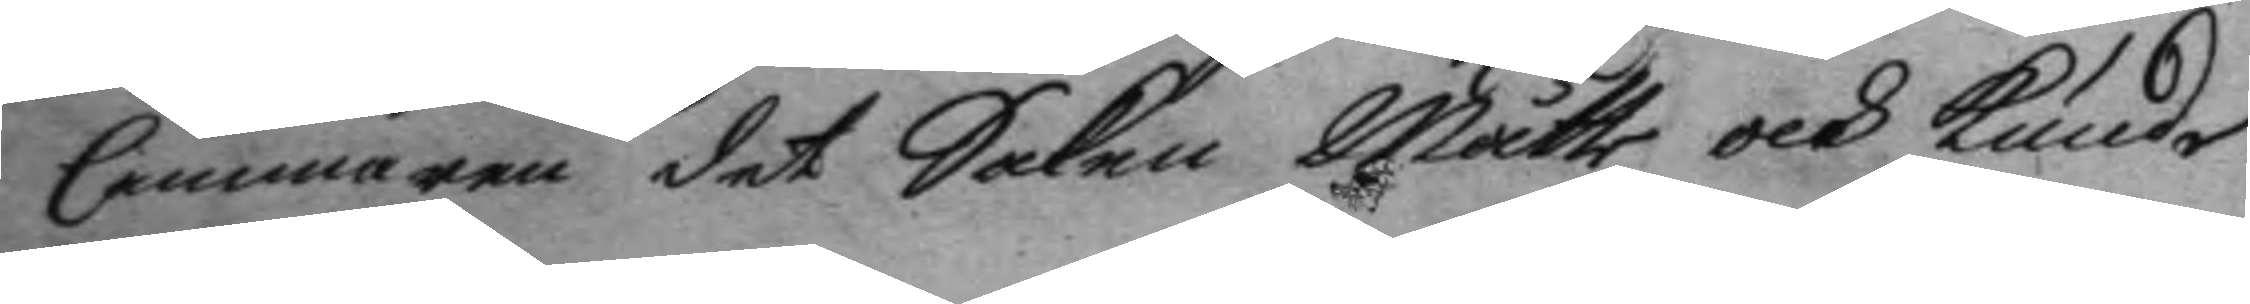Cammaren det Saken Måtte och kunde
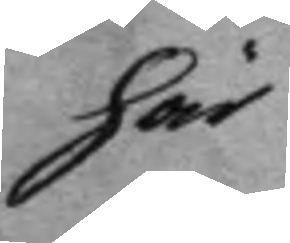här
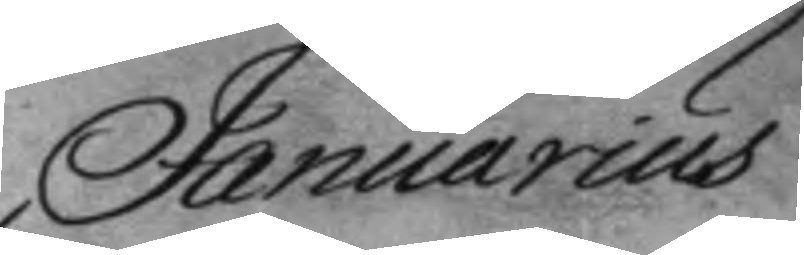Januarius
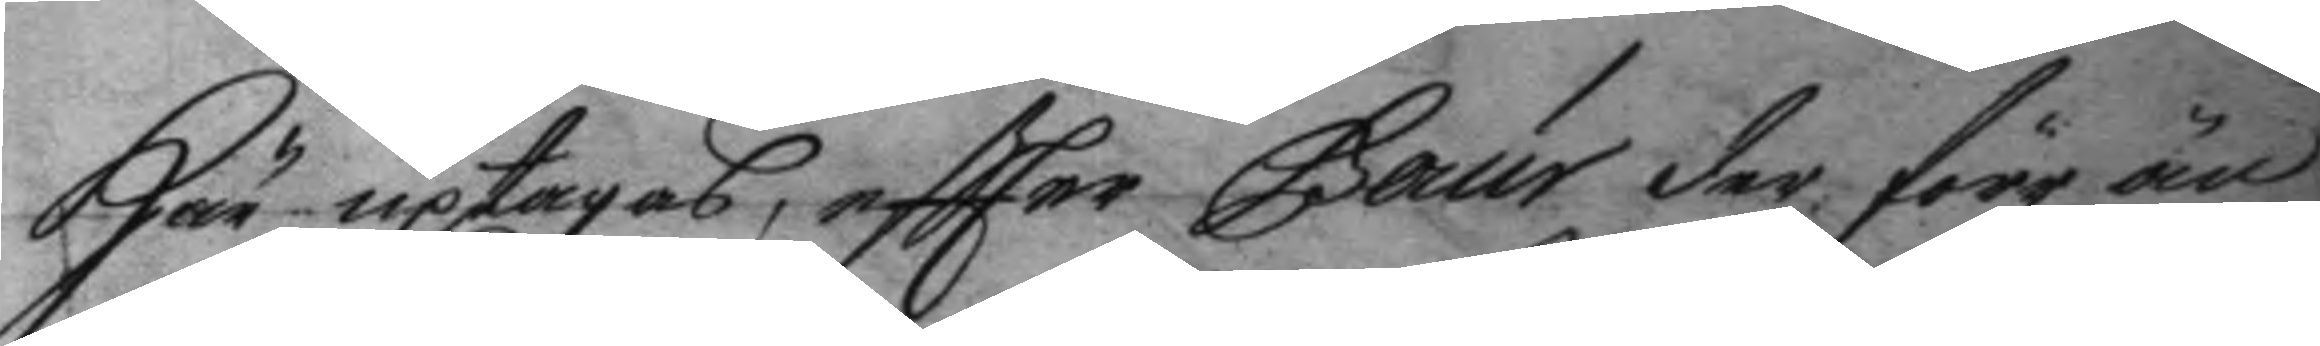här uptagas, eftter Gaur der före än
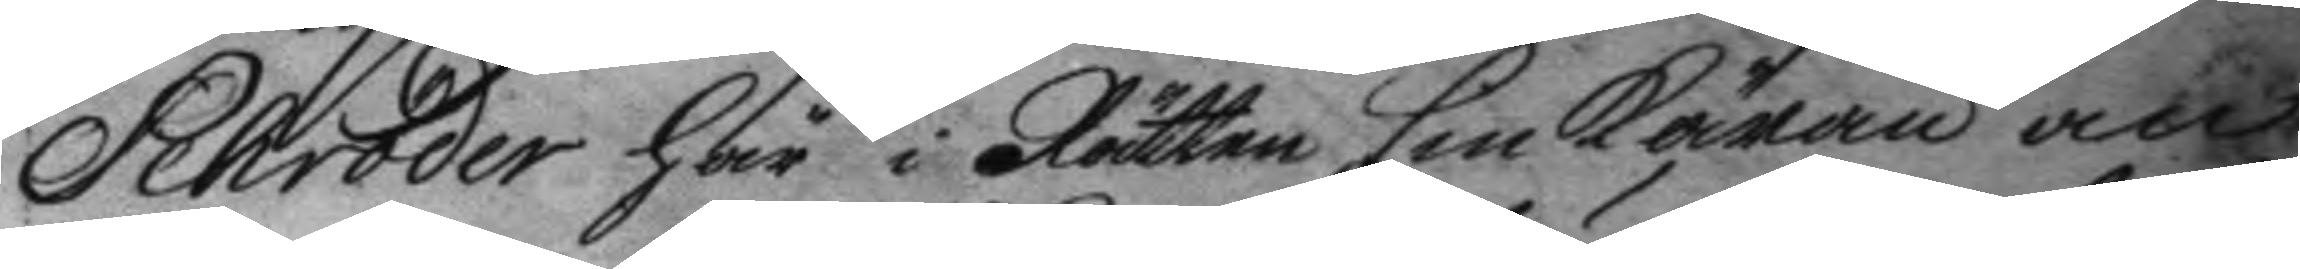Schröder här i Rätten sin käran an¬ 
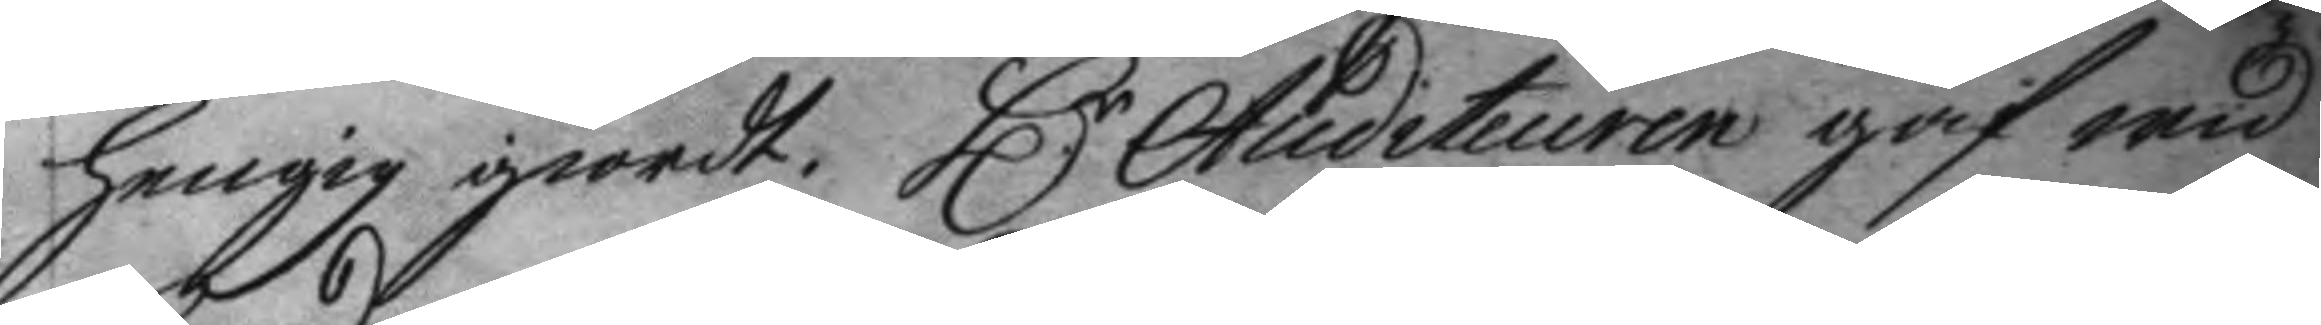henig giordt. H:r Auditeuren gaf wid
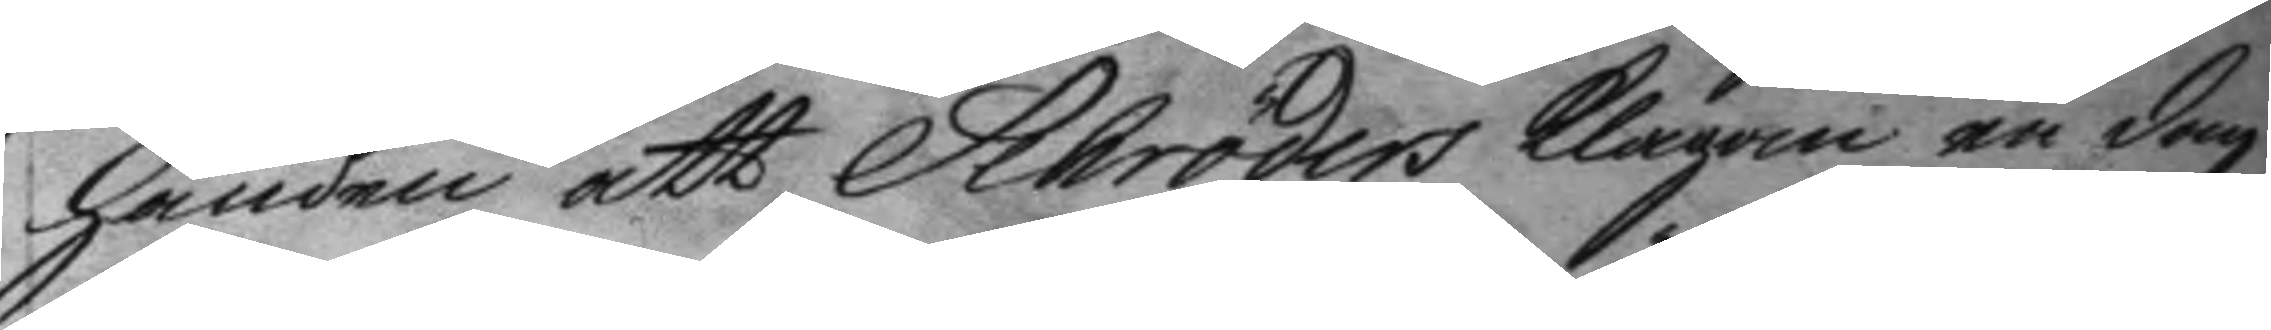handen att Schröders klagan en dag
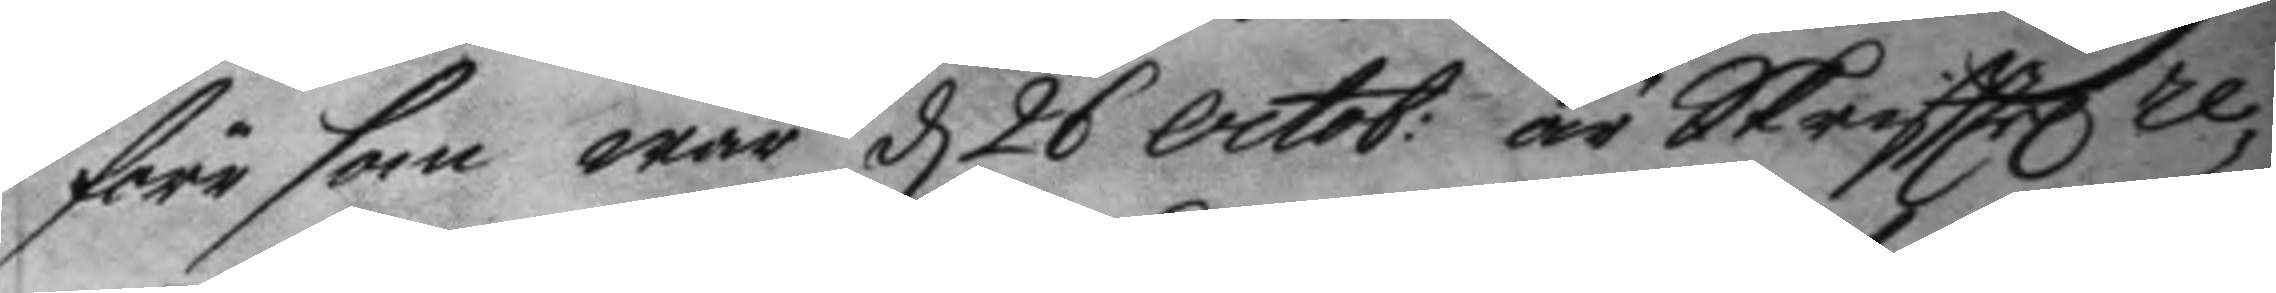förr som war d 26 octob: är Skrifttel re¬
